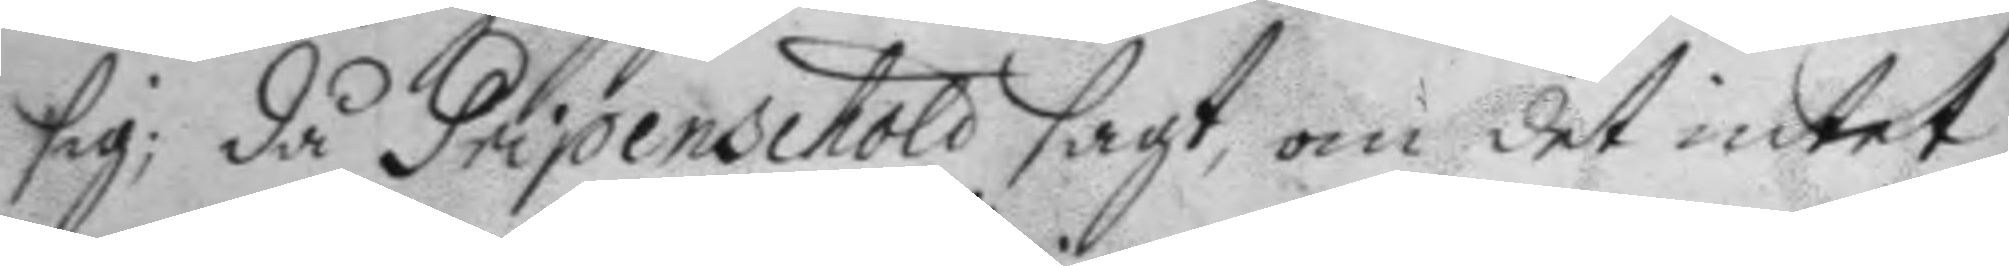sig; då Gripenschöld sagt, om det intet
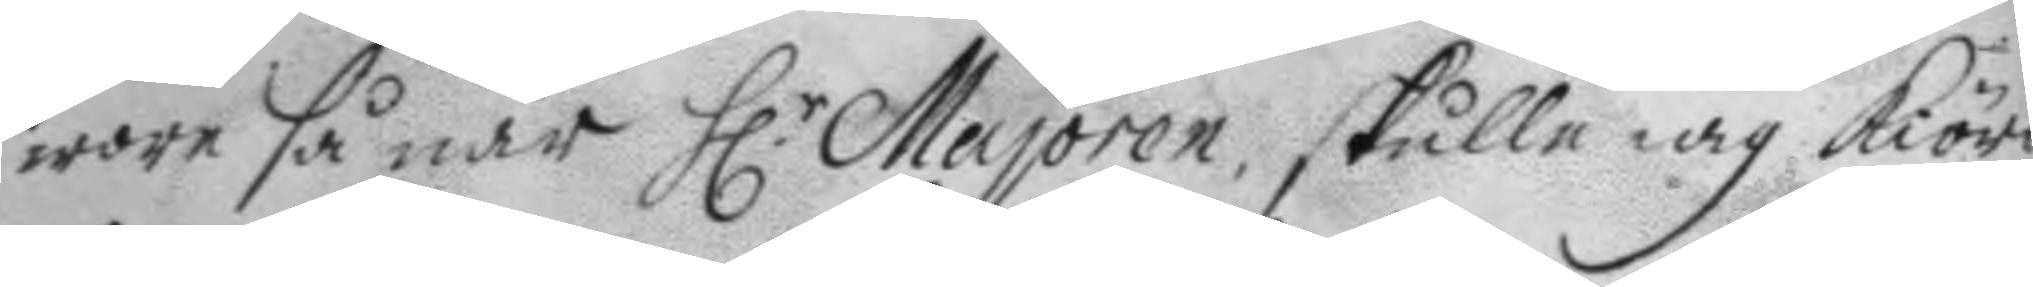wore så när H.r Majoren, skulle iag kiöra
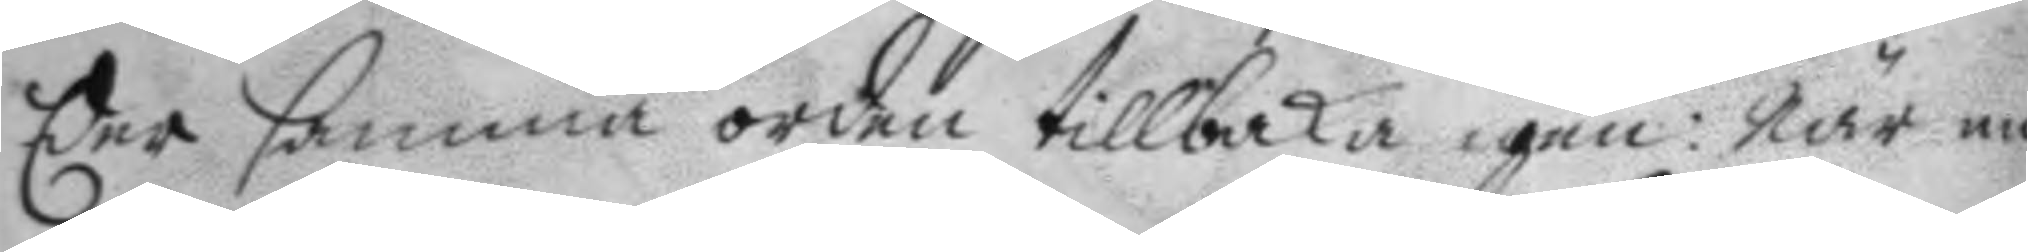Eer samma orden tillbaka igen: När nu
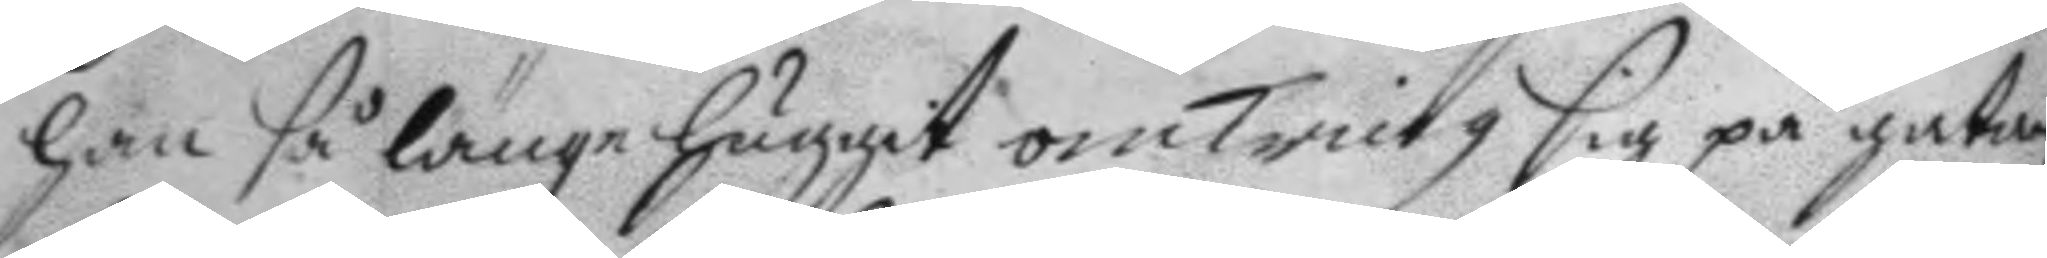han så länge huggit omkring sig på gatan
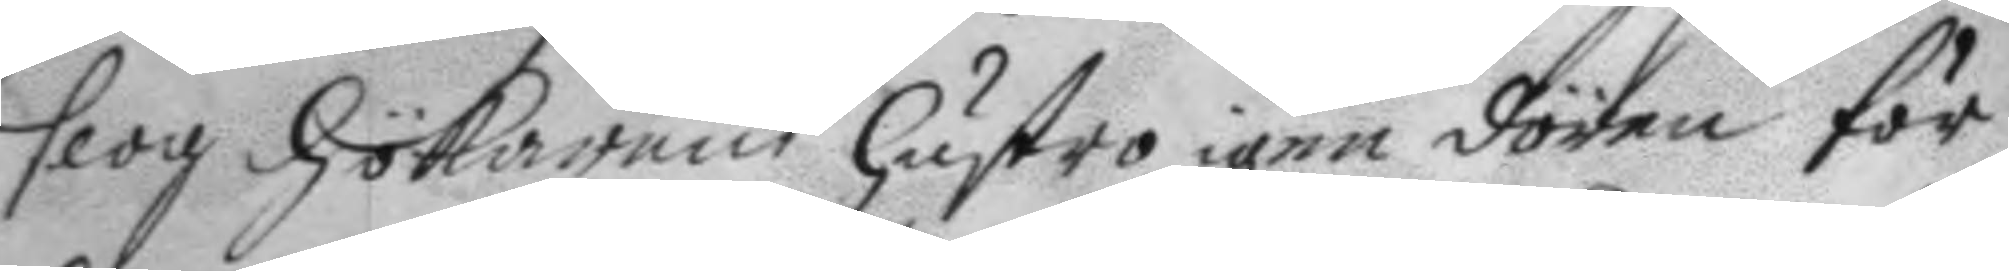slog hökarens hustro igen dören för
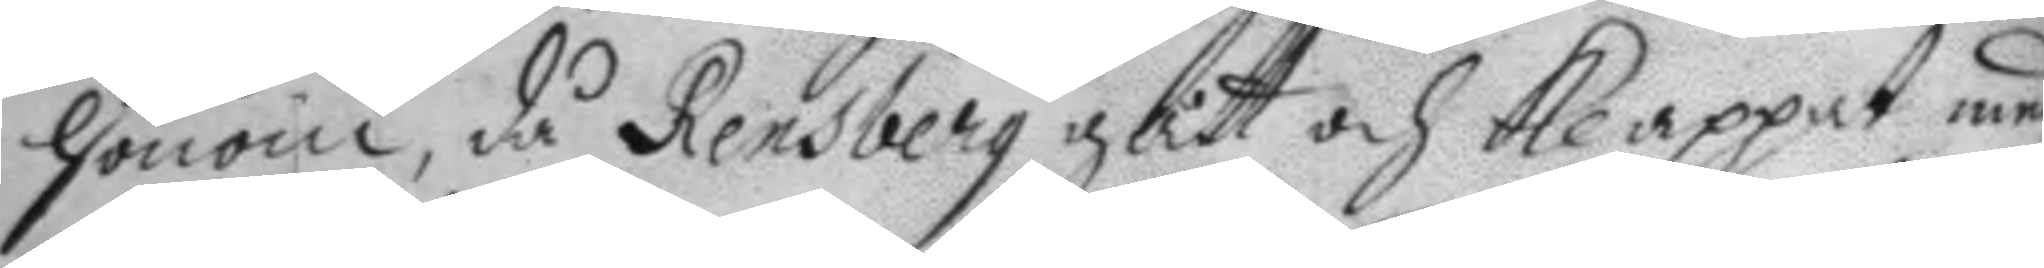honom, då Rensberg gått och klappat med
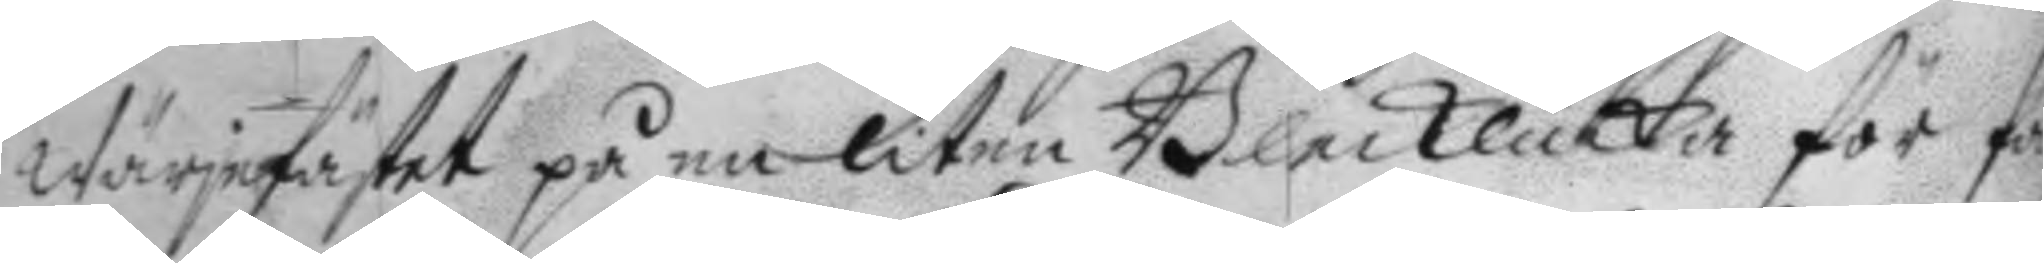Wärjefästet på en liten Blecklåcka för fön¬
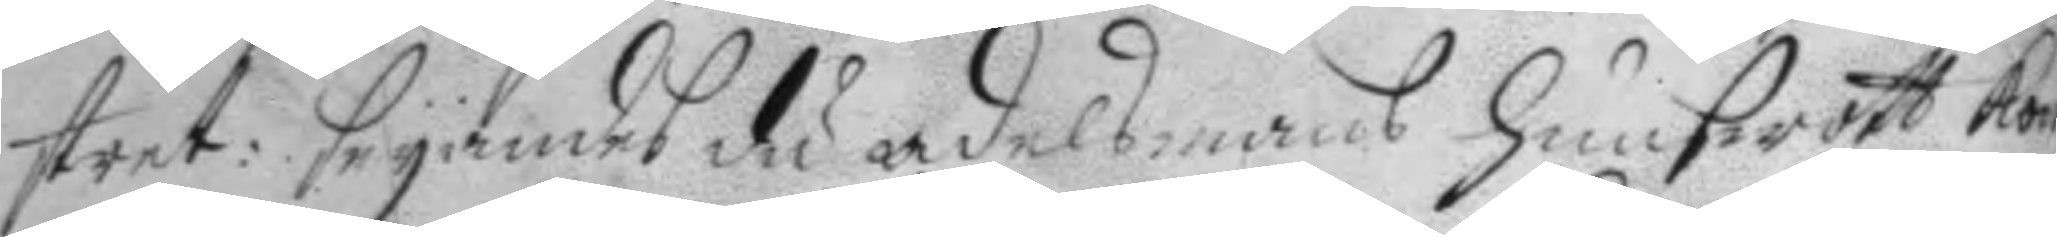stret: seyandes du adelsmans hunswott kom
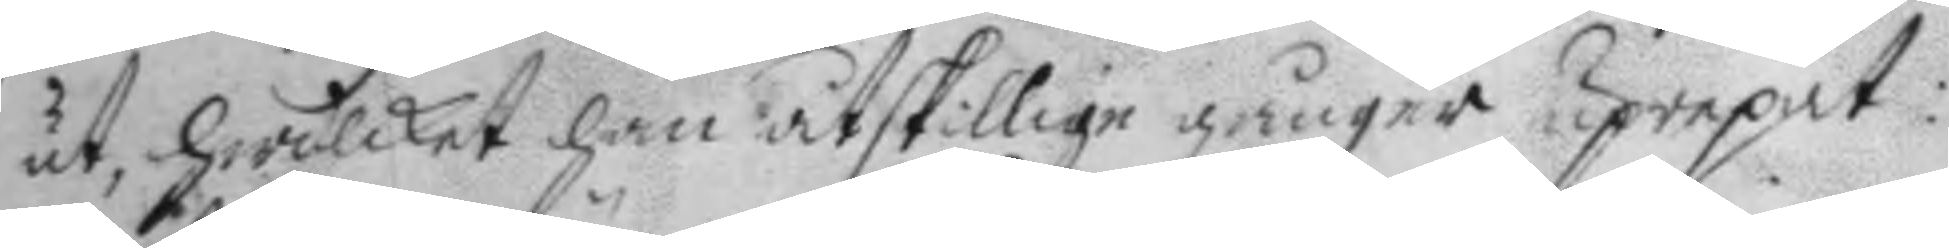ut, hwilcket han åtskillige gånger uprepat:
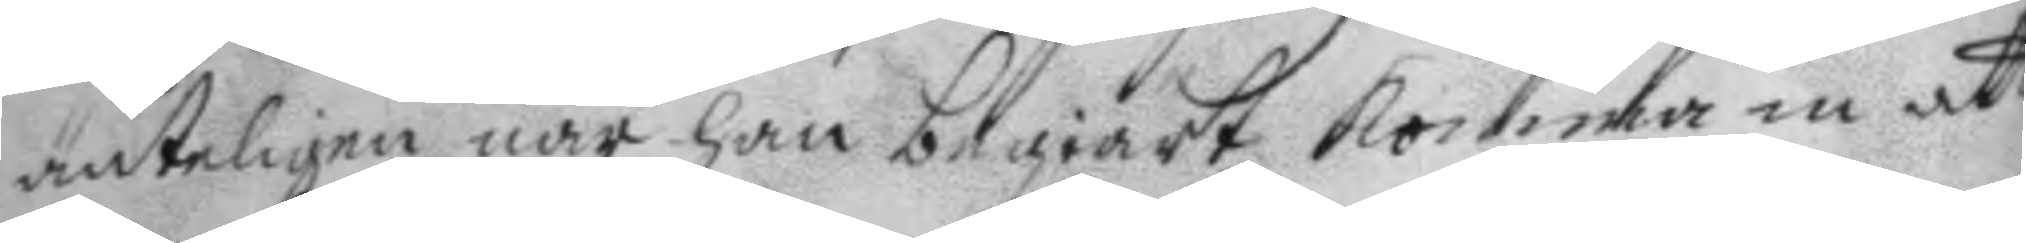änteligen när han begiärt komma in att
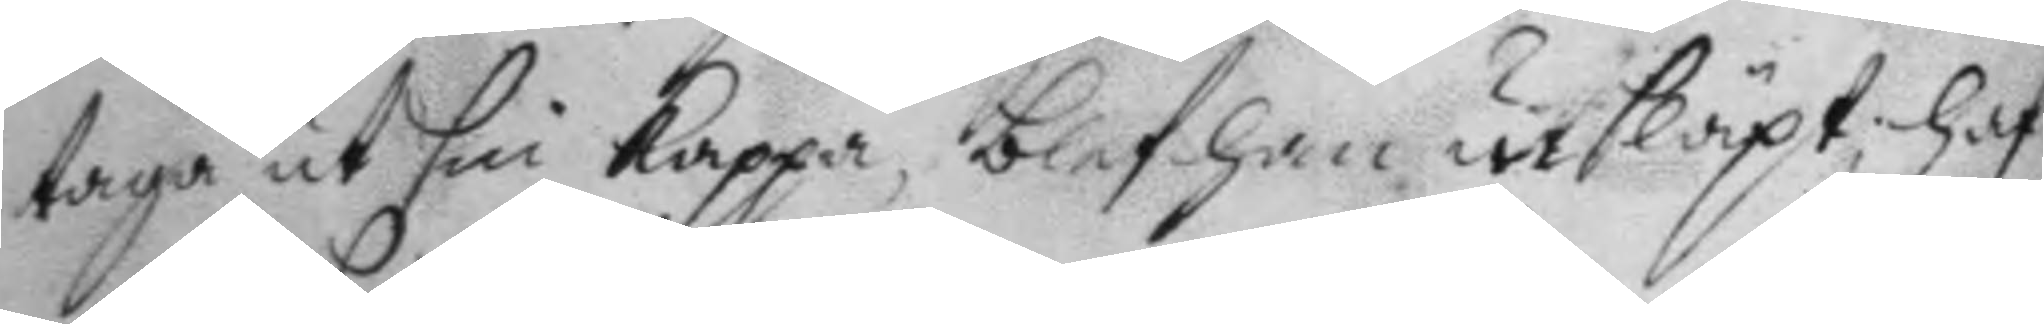taga ut sin kappa, blef han insläpt, haf¬
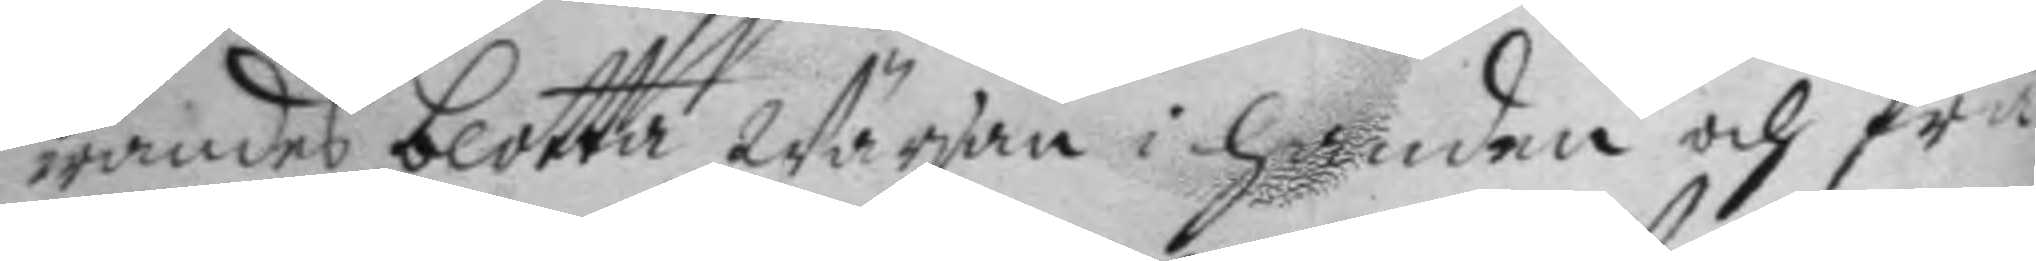wandes blotta Wärjan i handen och frå¬
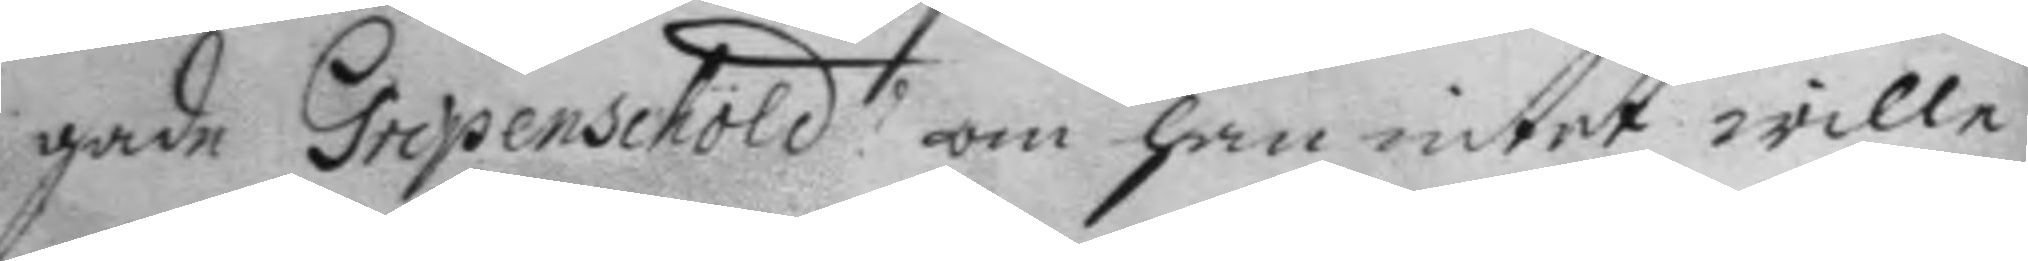gade Gripenschöld? om han intet wille
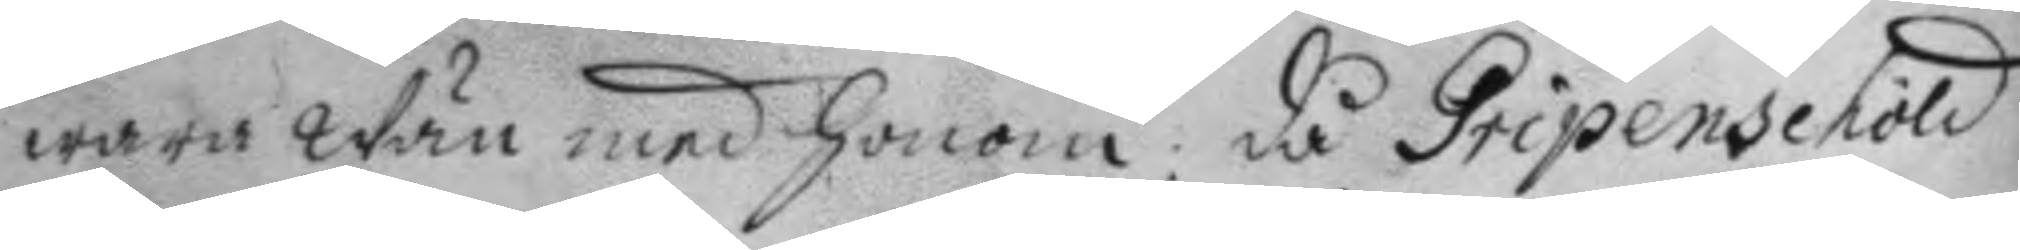wara Wän med honom: då Gripenschöld
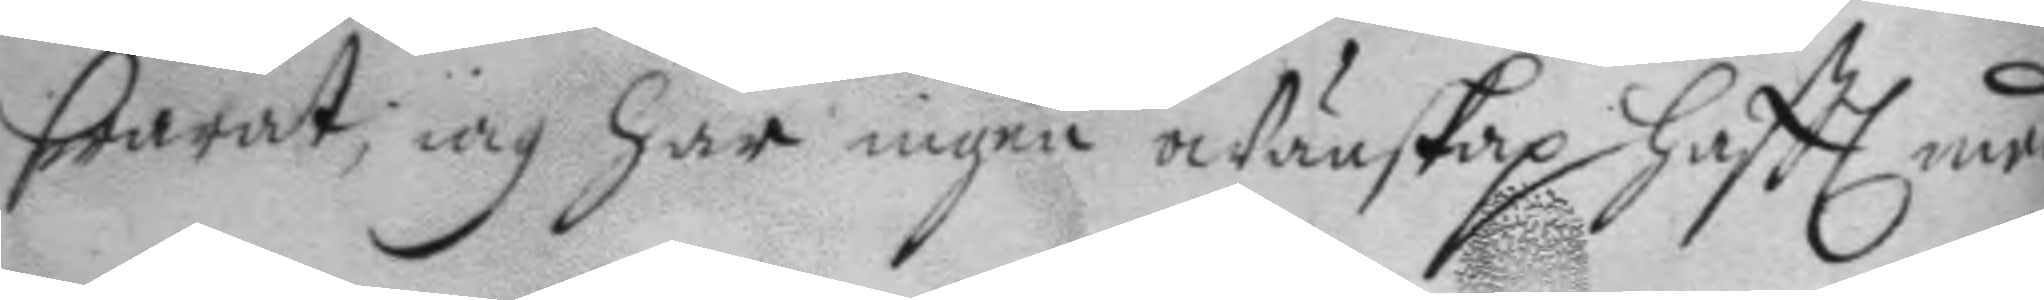swarat; iag har ingen owänskap haftt med
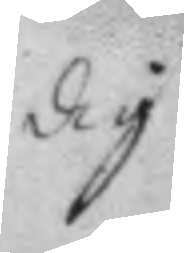dig
